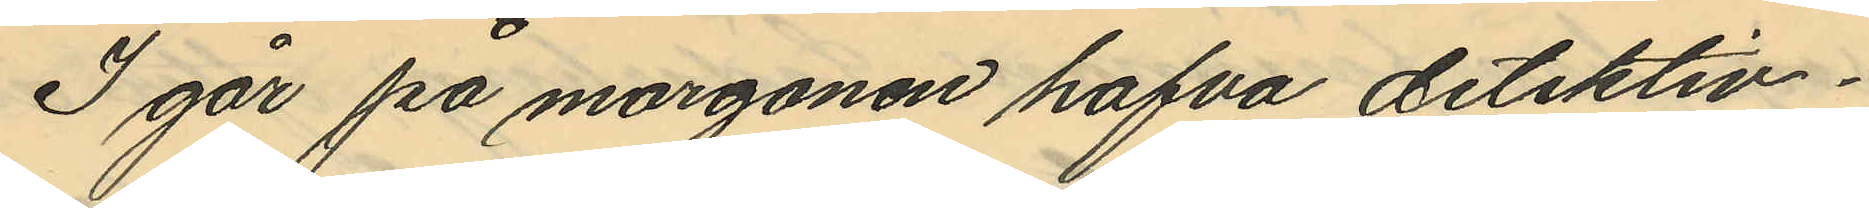I går på morgonen hafva detektiv¬
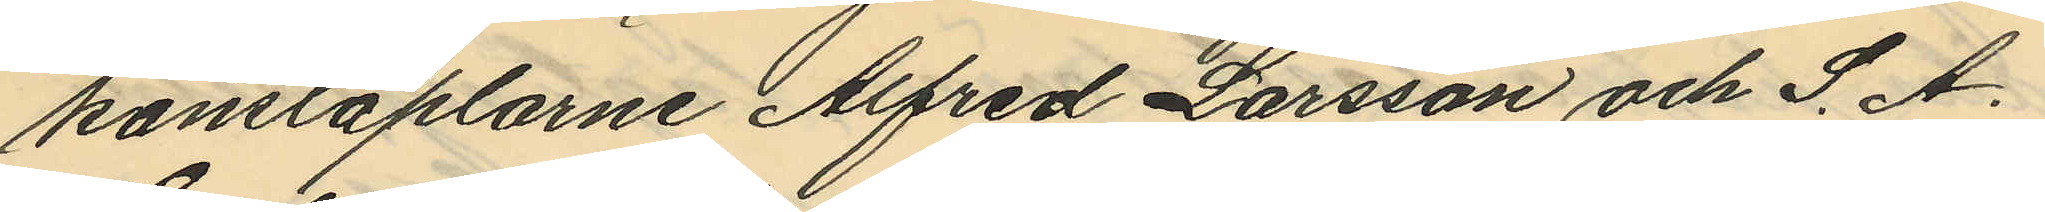konstaplarne Alfred Larsson och S. A.
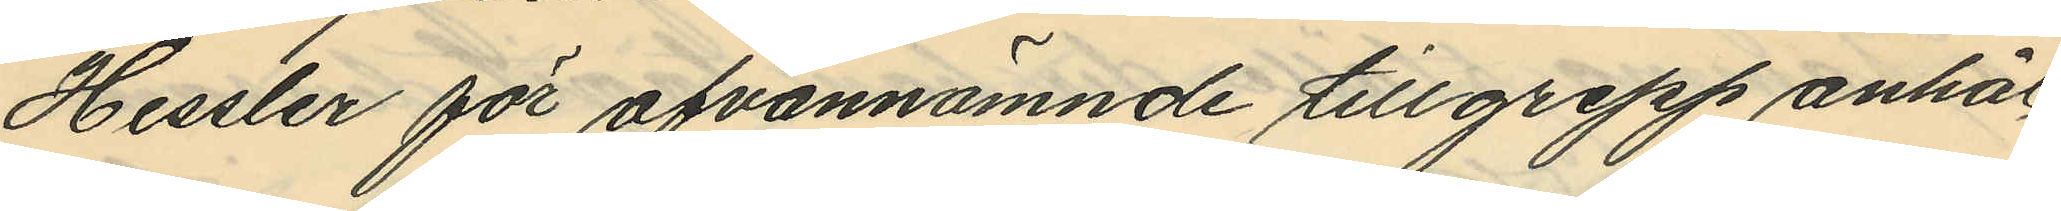Hessler för ofvannämnde tillgrepp anhål¬
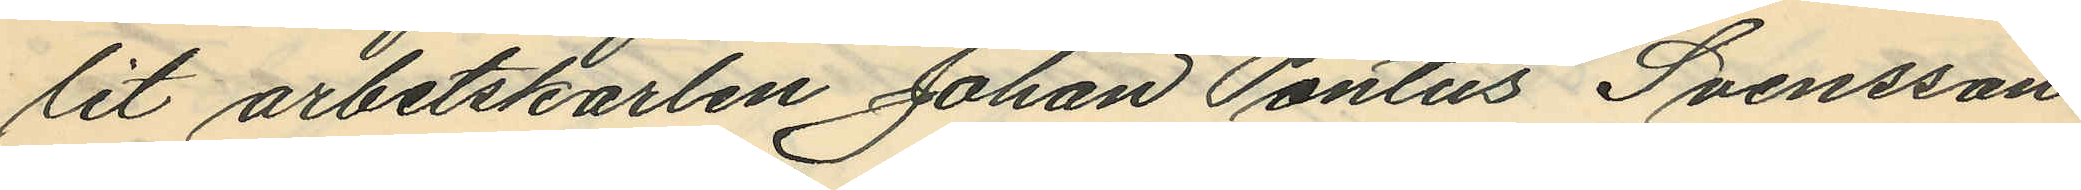lit arbetskarlen Johan Pontus Svensson
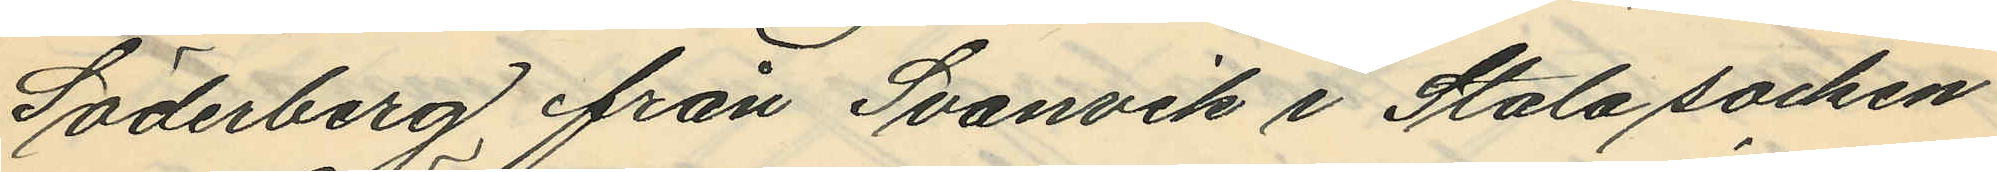Söderberg från Svanvik i Stala socken
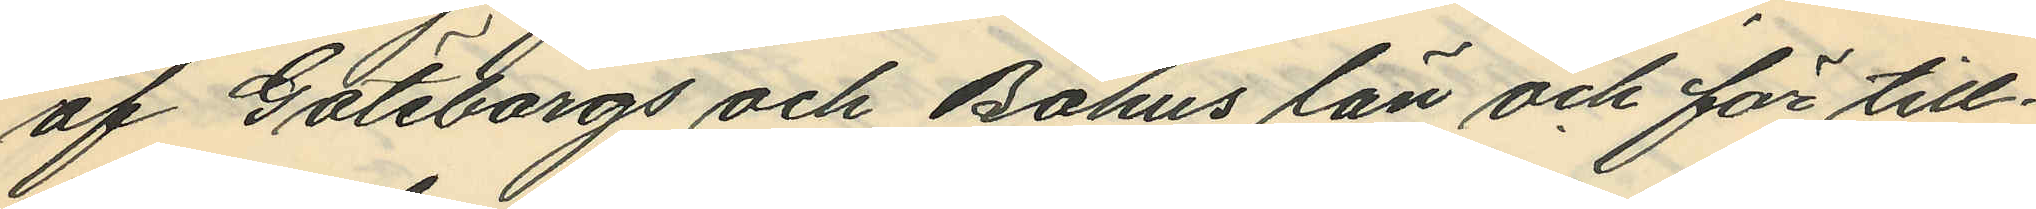af Göteborgs och Bohus län och för till¬
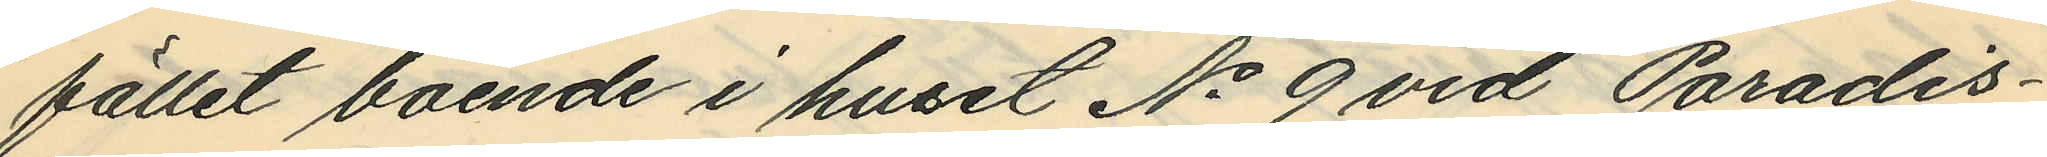fället boende i huset No 9 vid Paradis¬
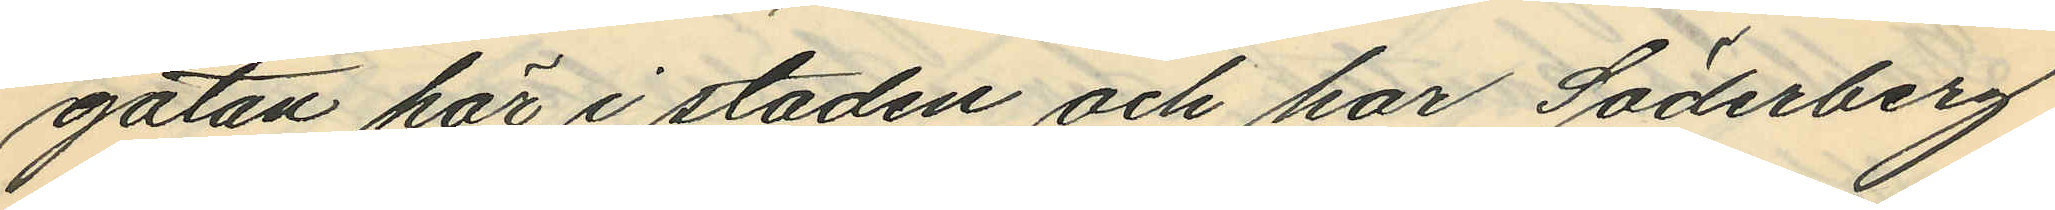gatan här i staden och har Söderberg
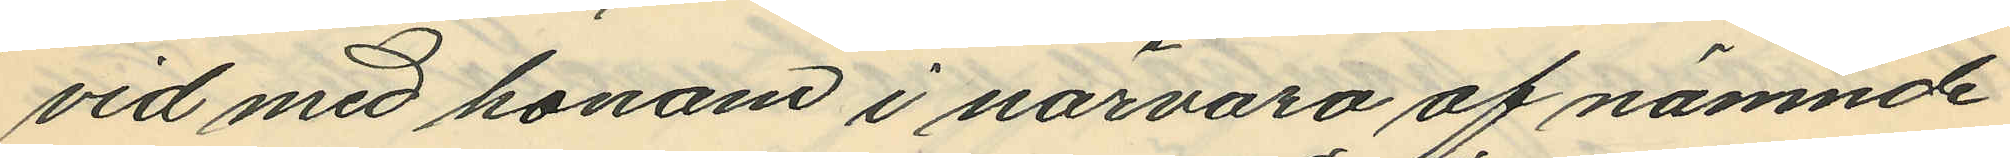vid med honom i närvaro af nämnde
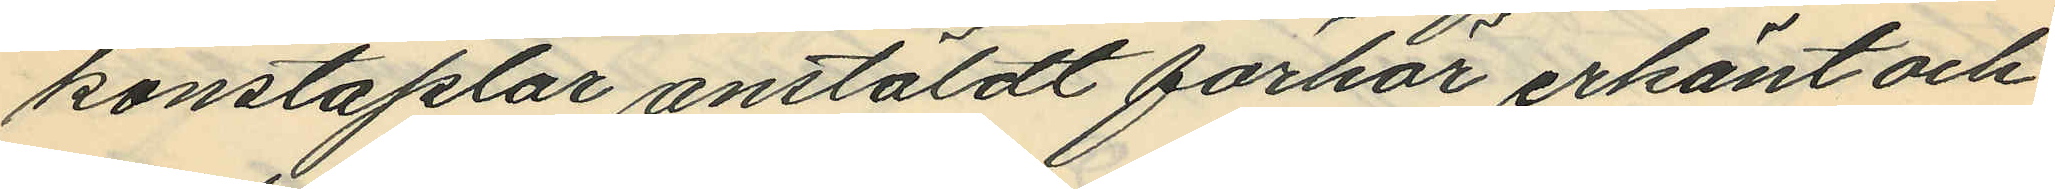konstaplar anstäldt förhör erkänt och
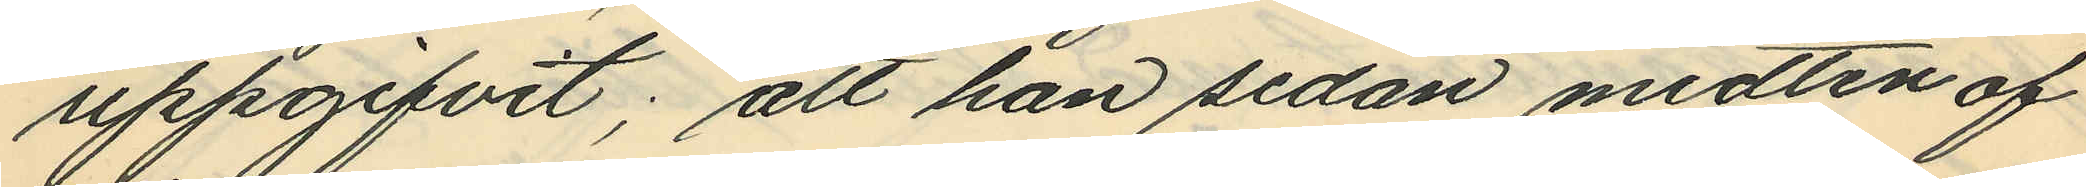uppgifvit; att han sedan midten af
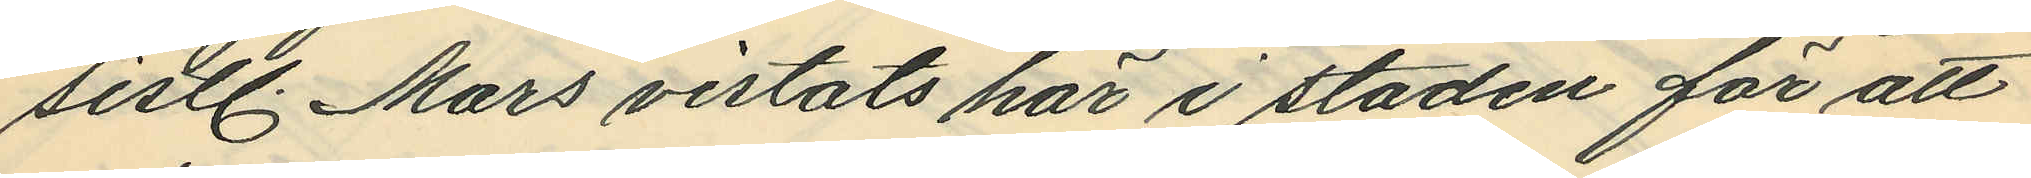sistl. Mars vistats här i staden för att
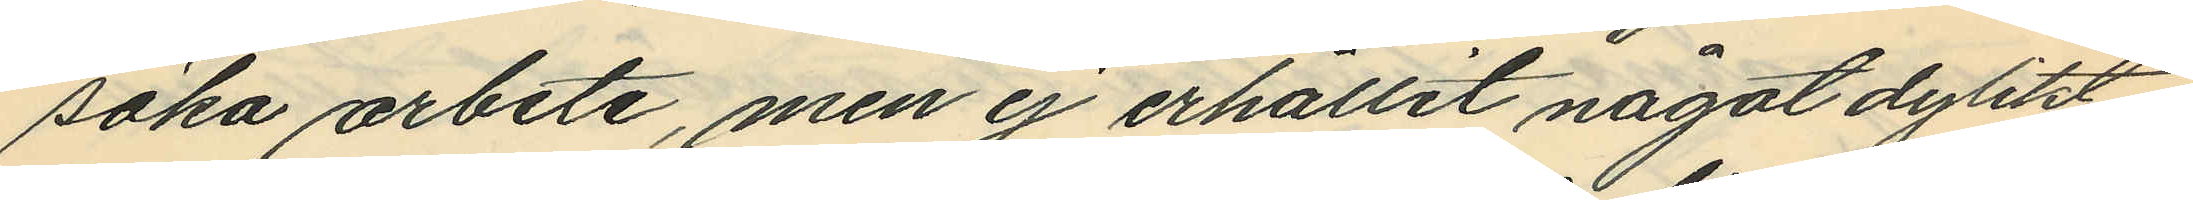söka arbete, men ej erhållit något dylikt
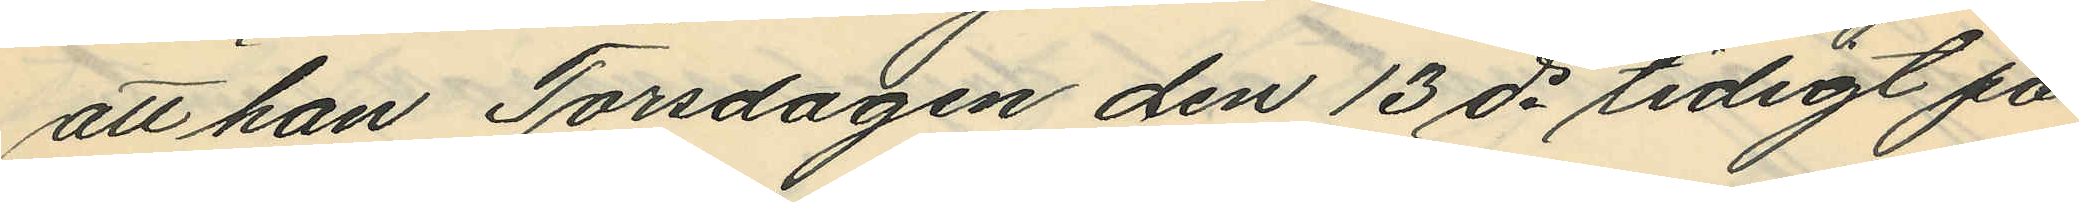att han Torsdagen den 13 ds tidigt på
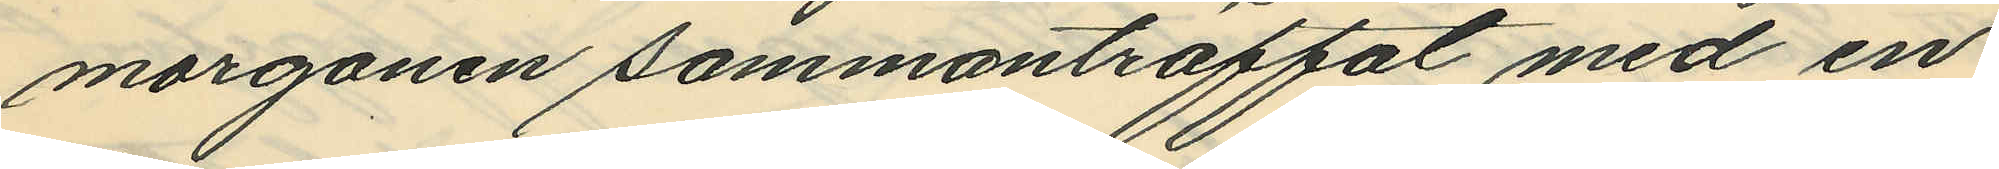morgonen sammanträffat med en
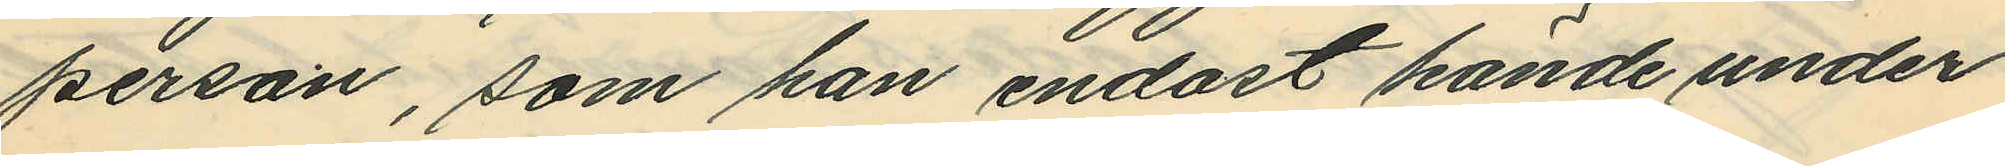person, som han endast kände under
